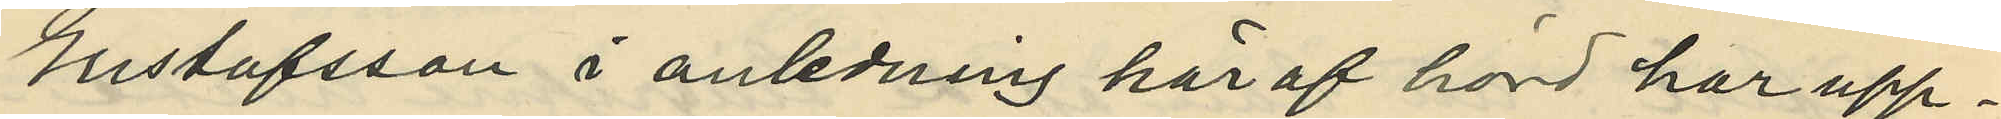Gustafsson i anledning häraf hörd har upp¬
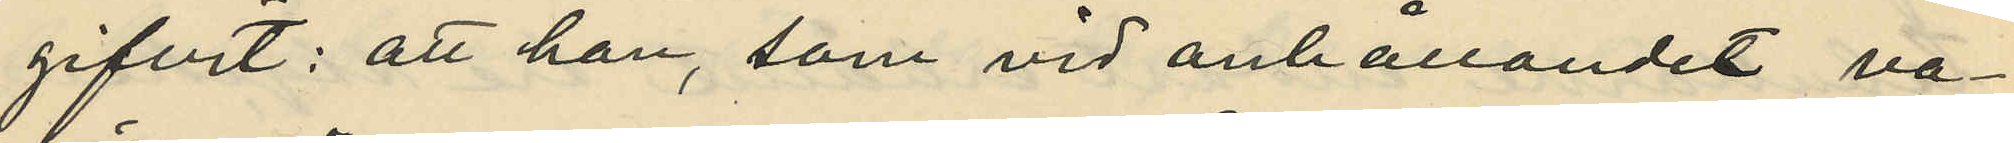gifvit: att han, som vid anhållandet va¬
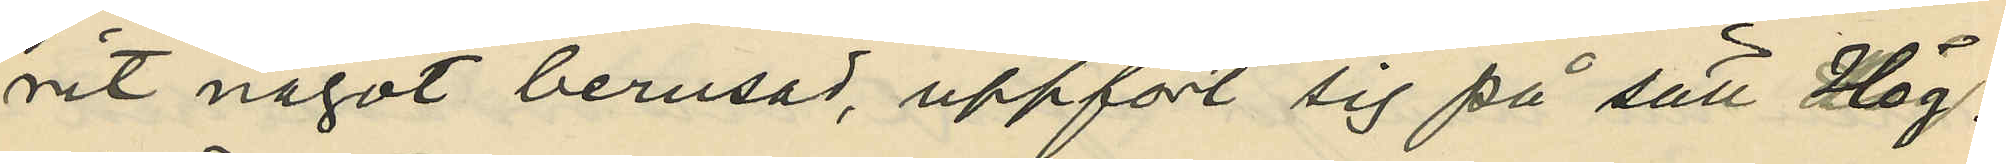rit något berusad, uppfört sig på sätt Hög¬
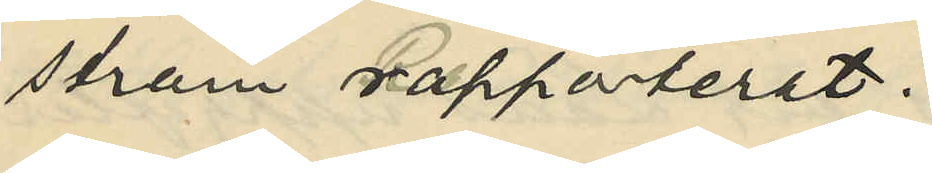ström rapporterat.
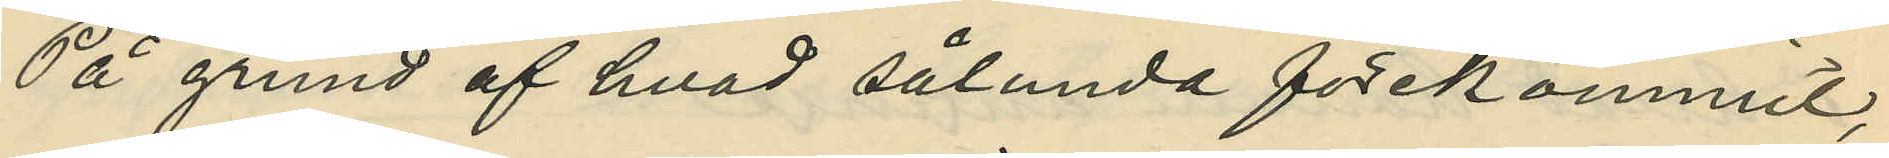På grund af hvad sålunda förekommit,
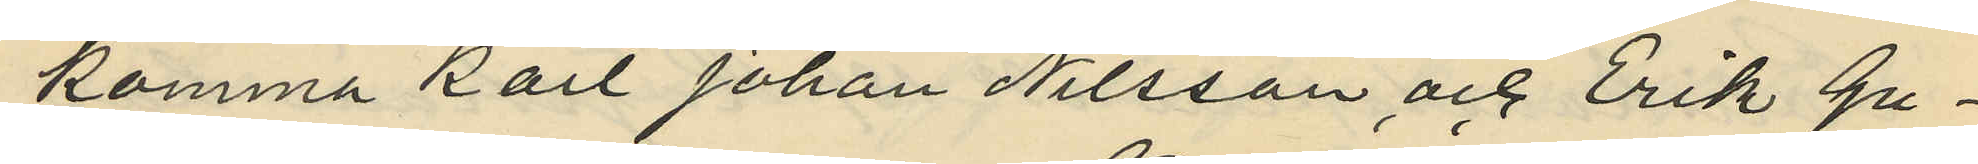komma Karl Johan Nilsson och Erik Gu¬
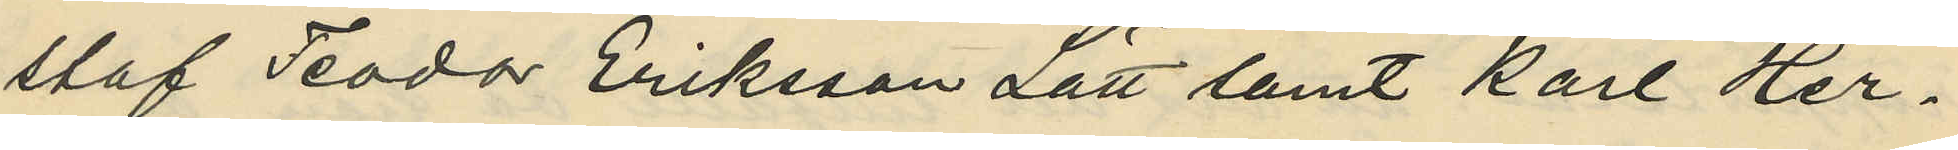staf Teodor Eriksson Lätt samt Karl Her¬
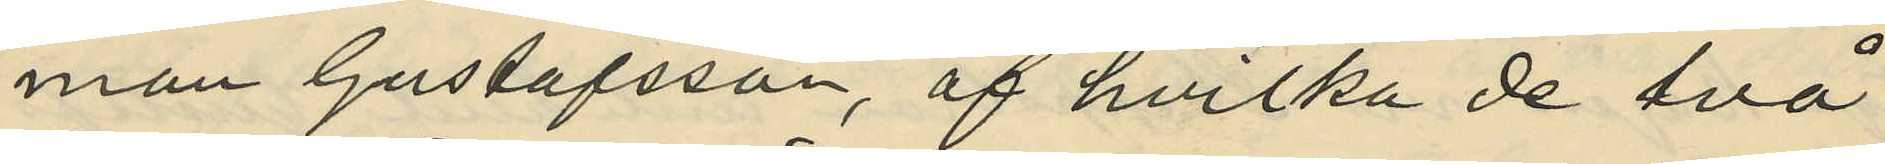man Gustafsson, af hvilka de två
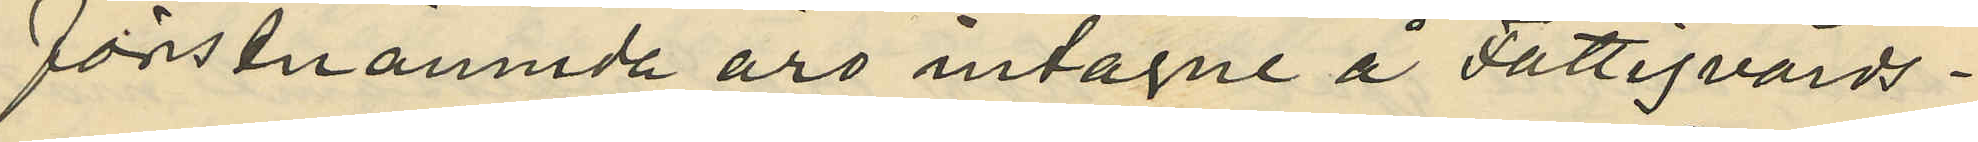förstnämnda äro intagne å Fattigvårds¬
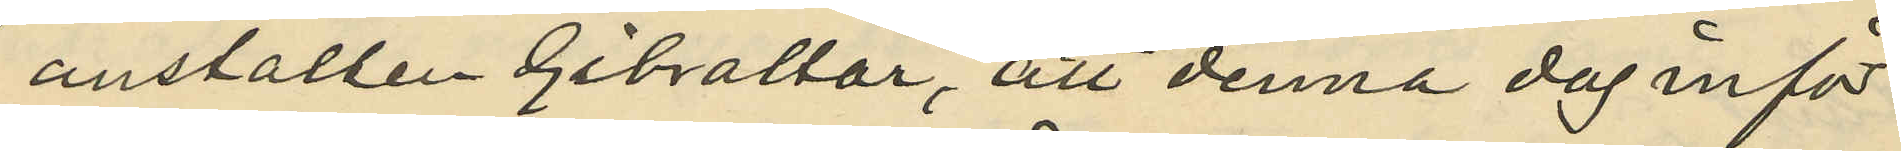anstalten Gibraltar, att denna dag inför
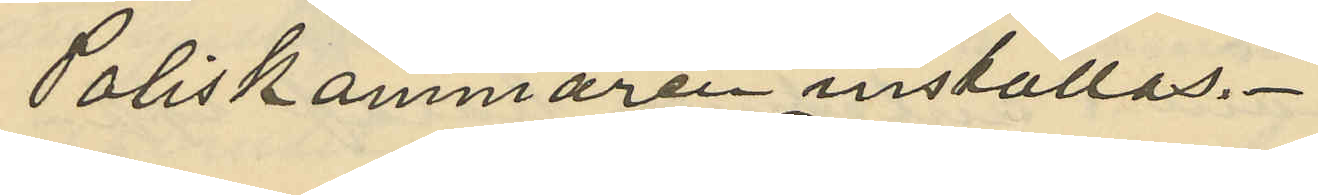Poliskammaren inställas.
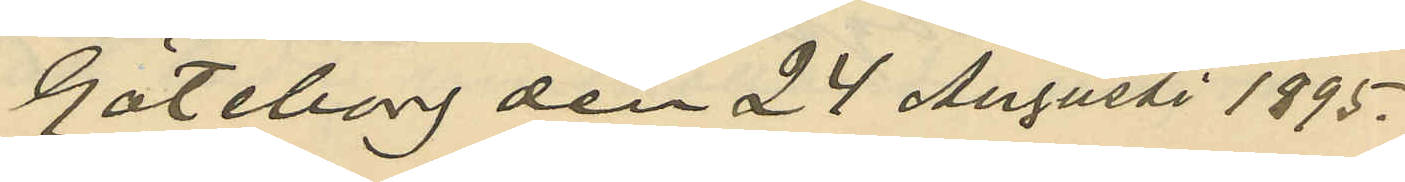Göteborg den 24 Augusti 1895.
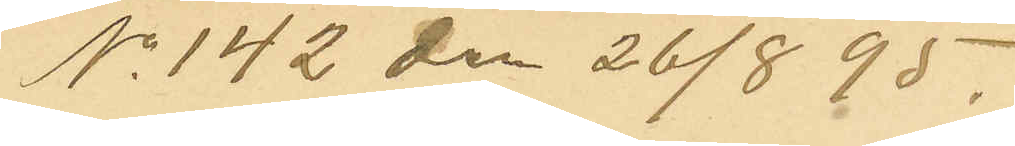No 142 den 26/8 95.
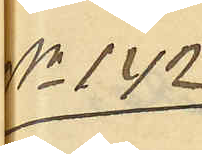No 142
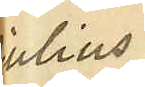Julius
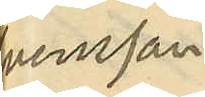Svensson
